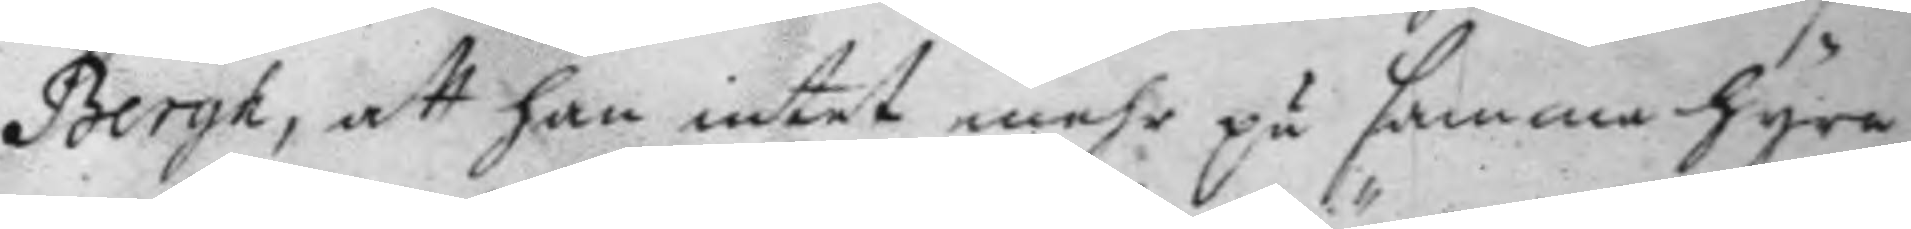Bergh, att han intet mehr på samma hyra
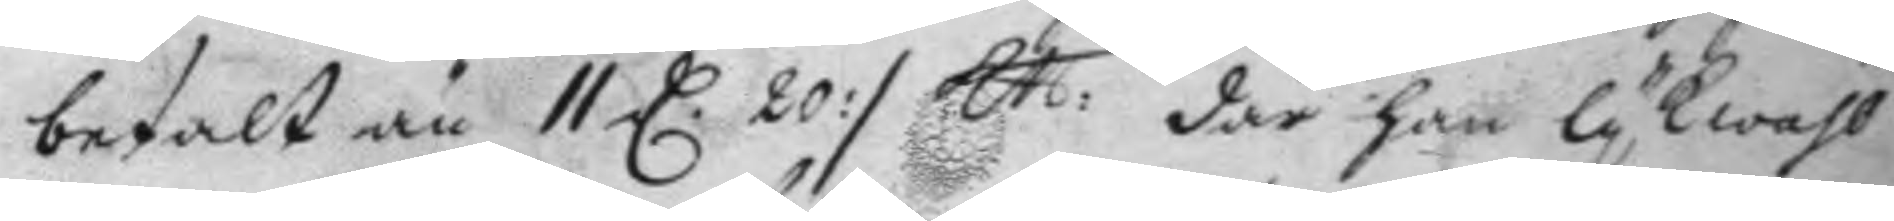betalt än 11 D. 20 :/ Ktt: där han lykwäll
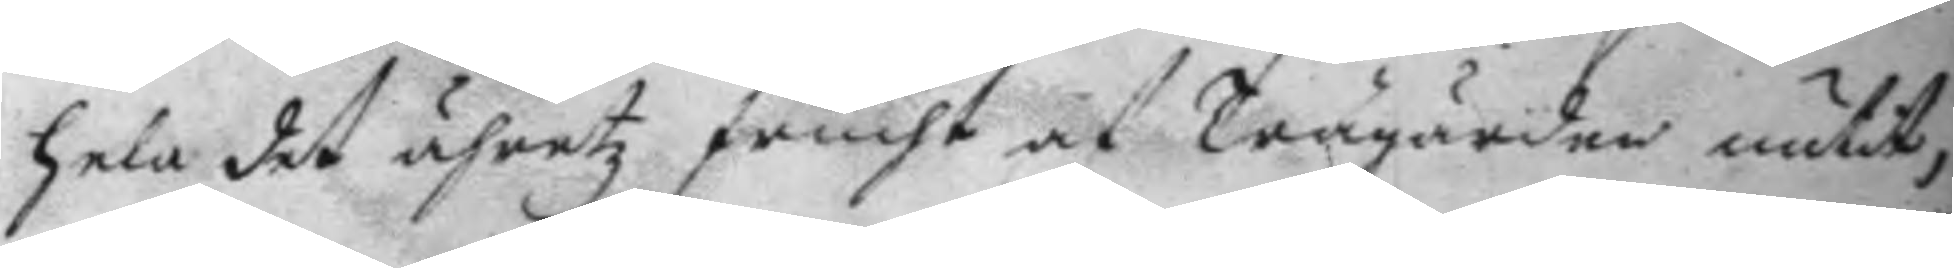hela det åhretz frucht af Trägården nutit;
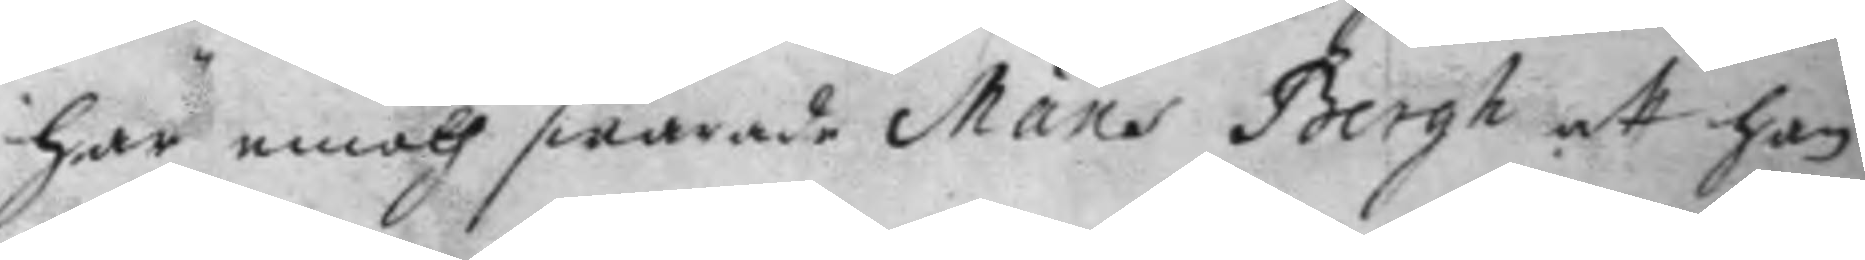här emoth swarade Måns Bergh att han 
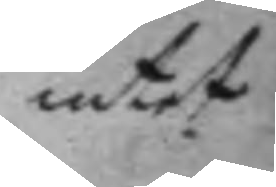intet
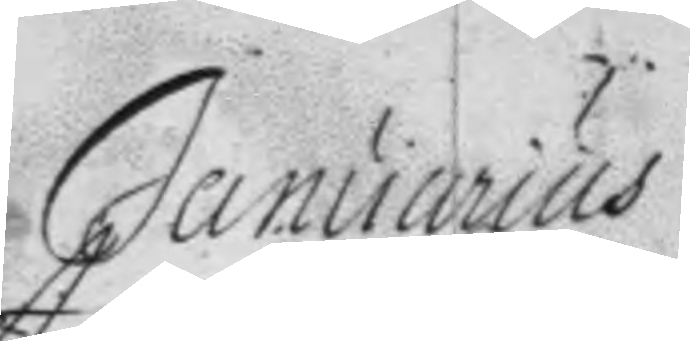Januarius
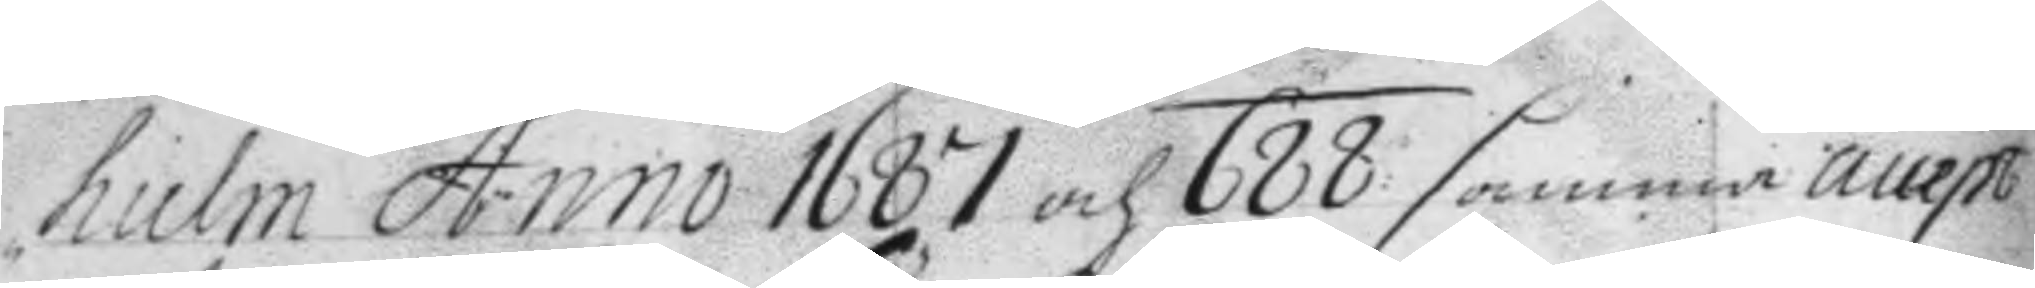hielm Anno 1687 och 688 samma attest
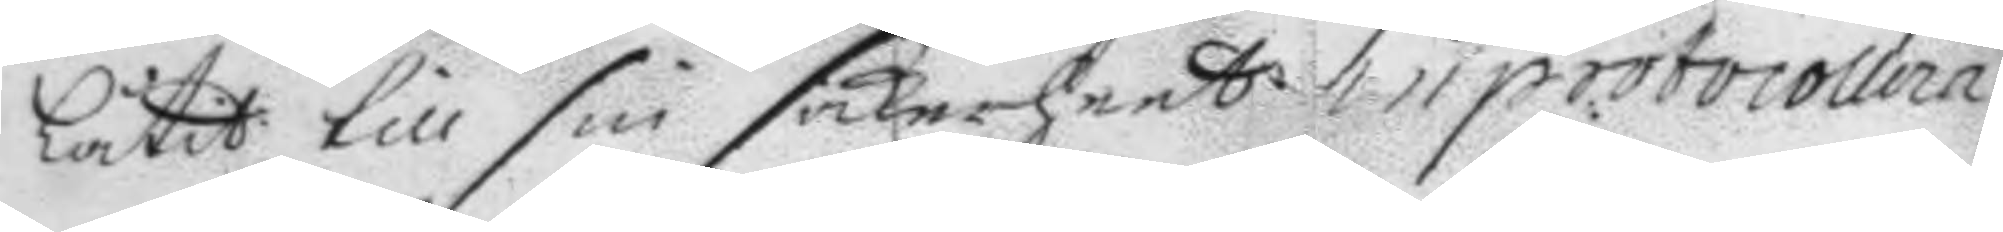låtit till sin säkerheet inprotocollera
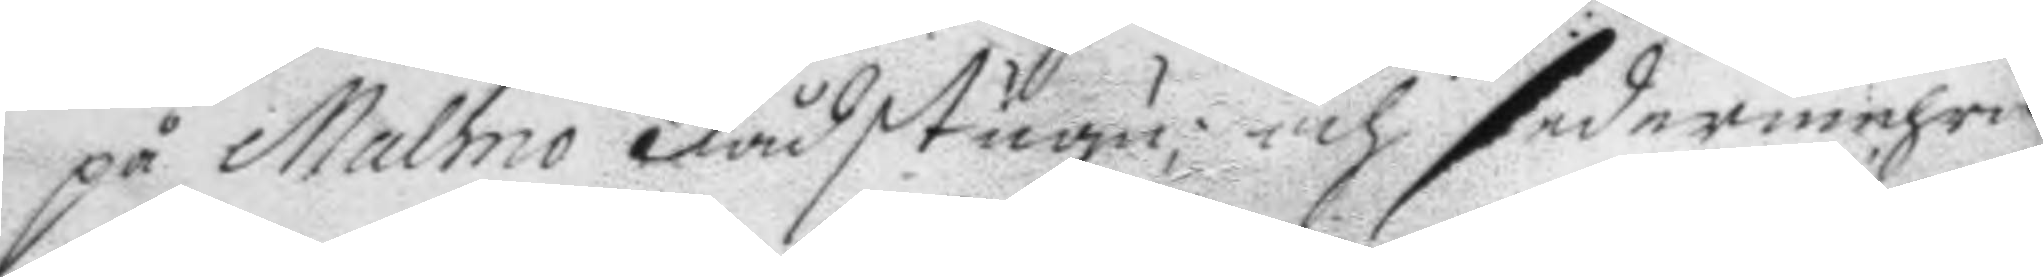på Malmö Rådstugu och sedermehra
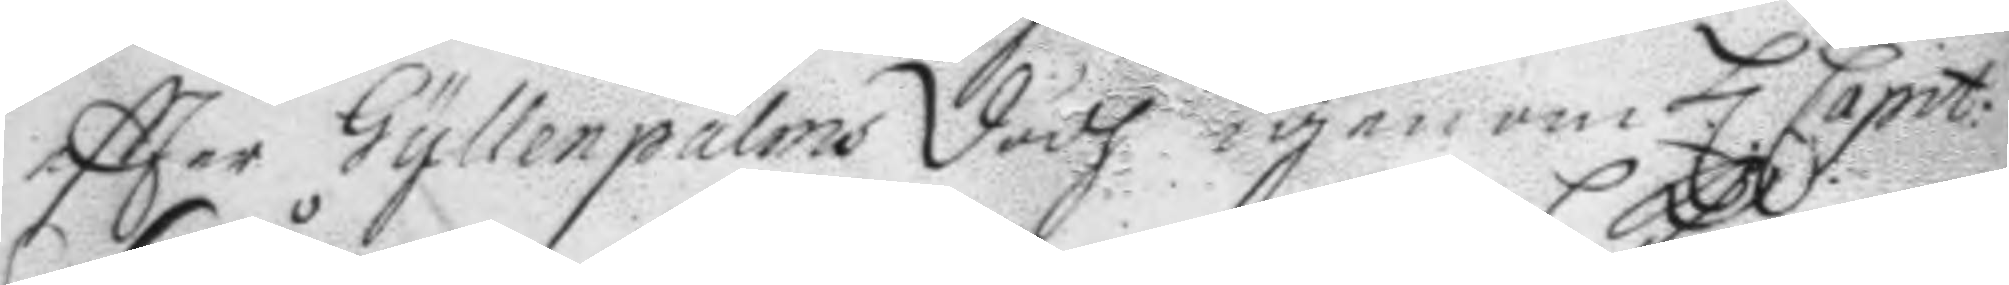eftter Gyllenpalms dödh igenom H. Capit:
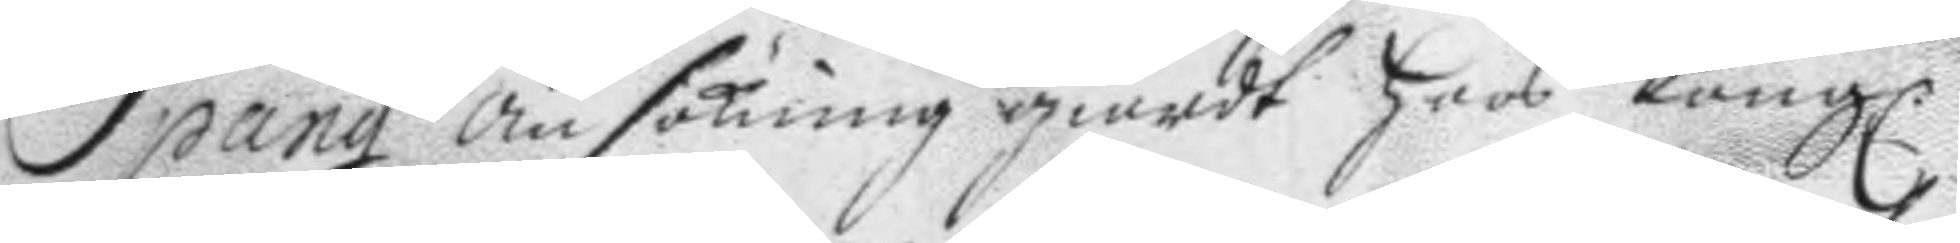Spång ansökning giordt hoos Kongl.
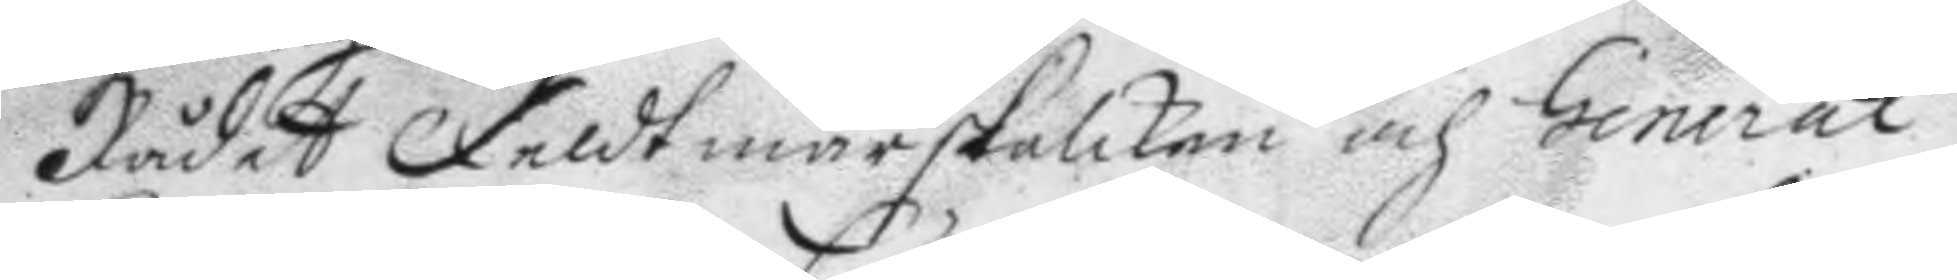Rådet Feldtmarskalken och General
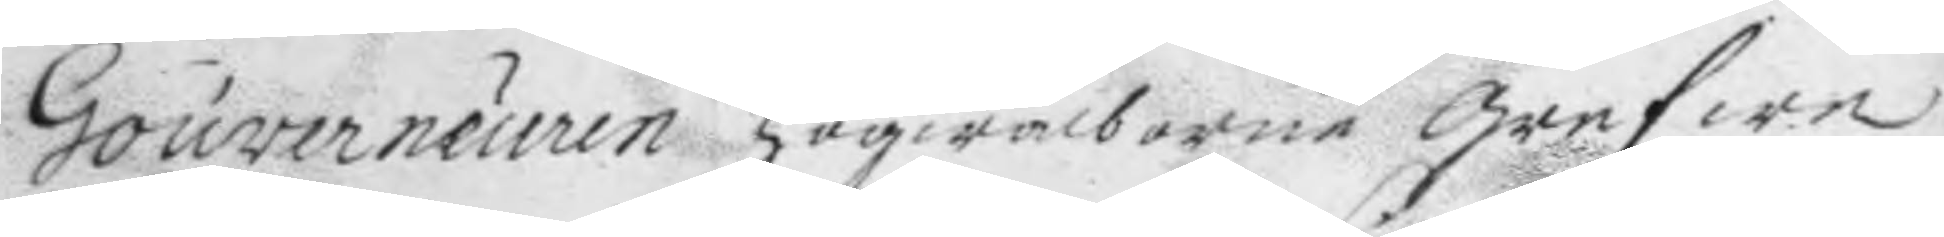Gouverneuren Högwälborne grefwe
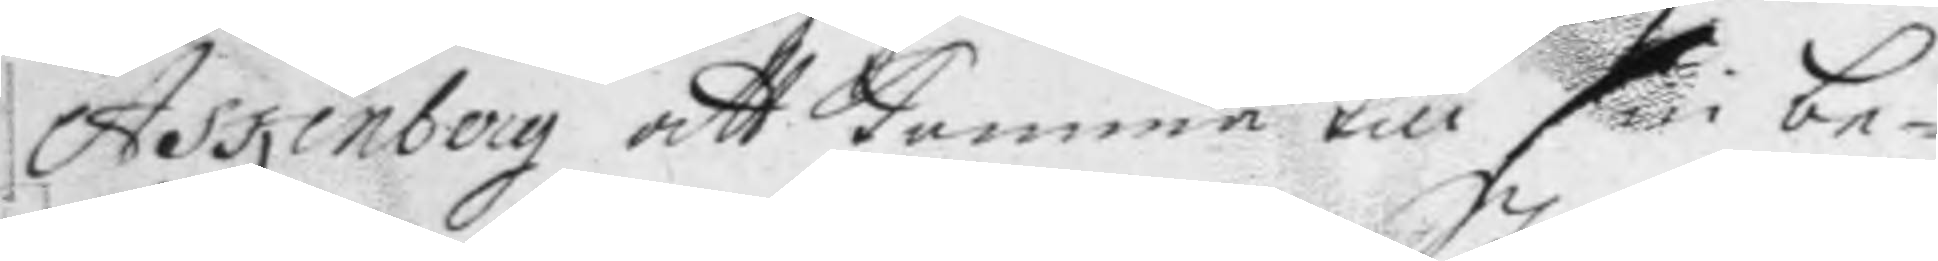Askenberg att komma till sin be¬
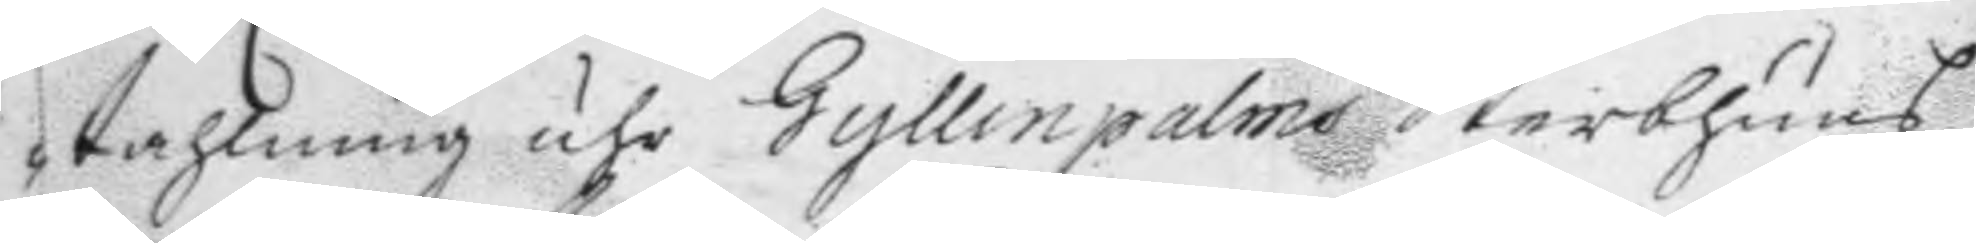tahlning uhr Gyllenpalms Sterbhuus,
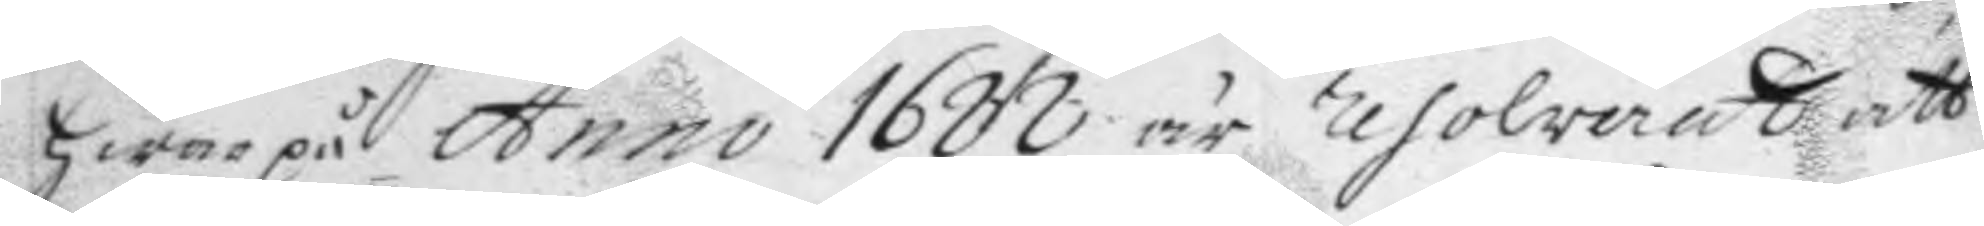hwarpå Anno 1688 är resolverat att
